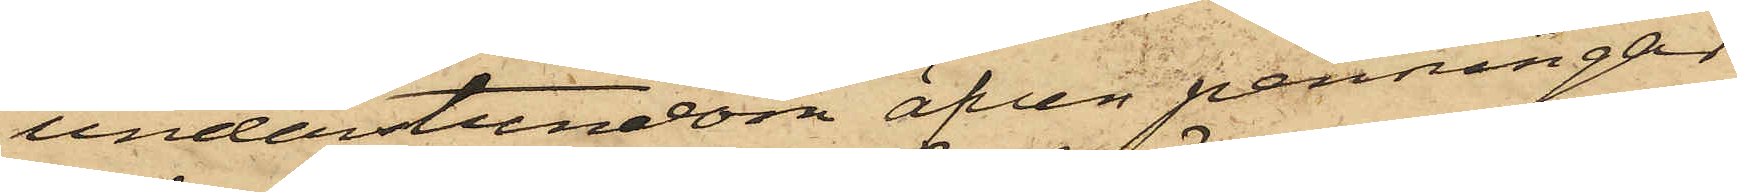understundom äfven penningar
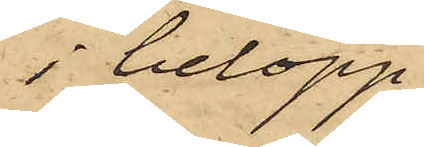i belopp
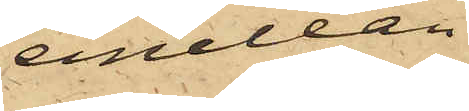emellan
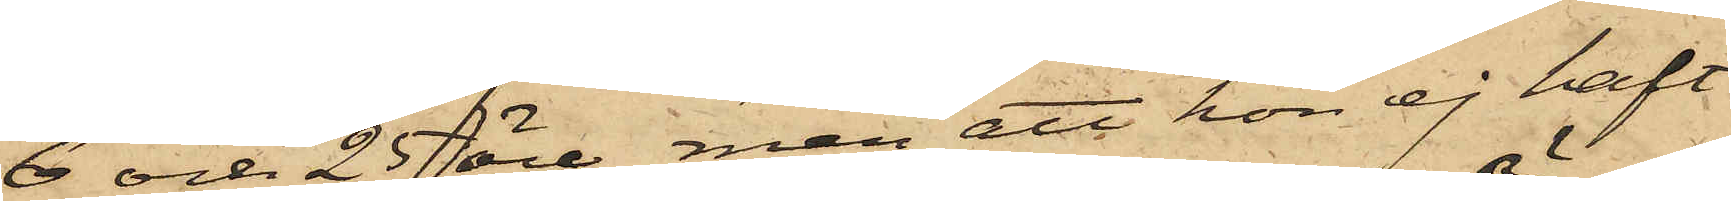6 och 25 öre, men att hon ej haft
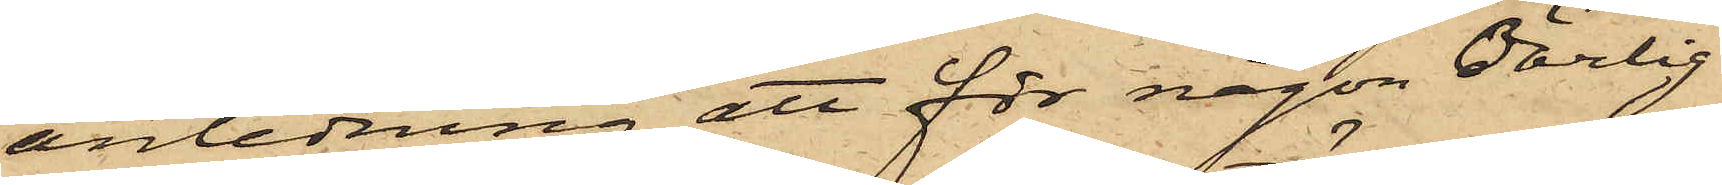anledning att för någon oärlig
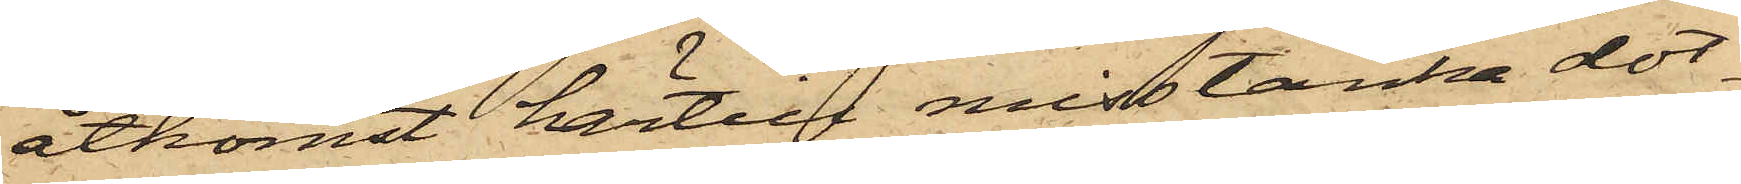åtkomst härtill misstänka dot¬
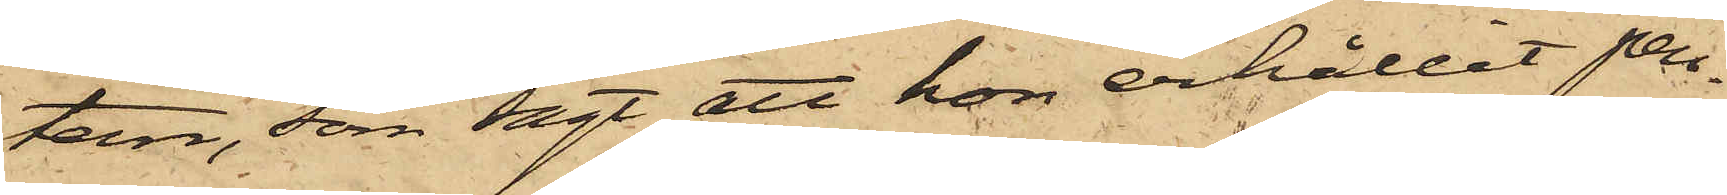tern, som sagt att hon erhållit pen¬
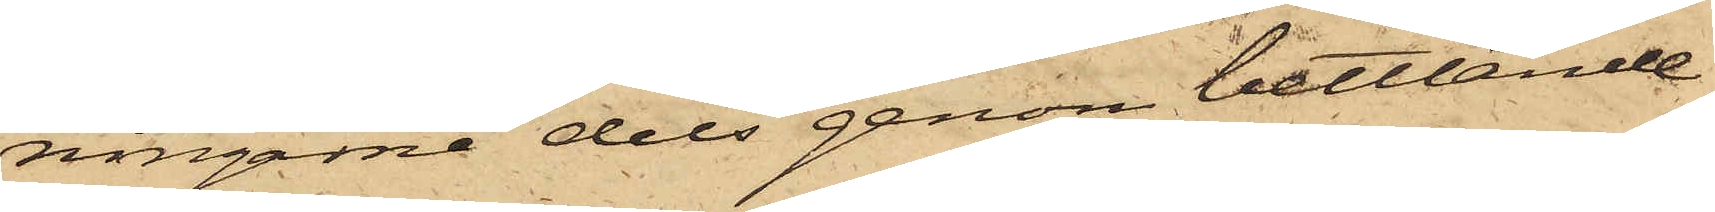ningarne dels genom bettlande
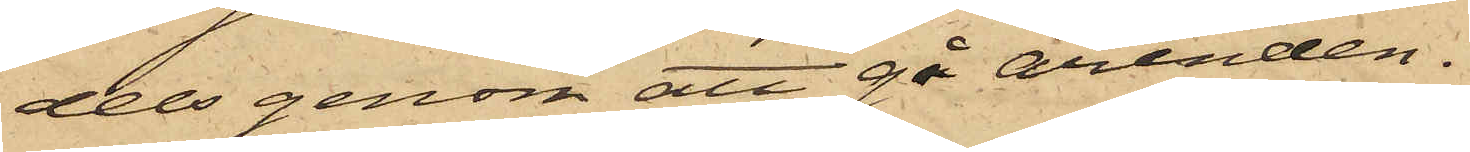dels genom att gå ärenden.
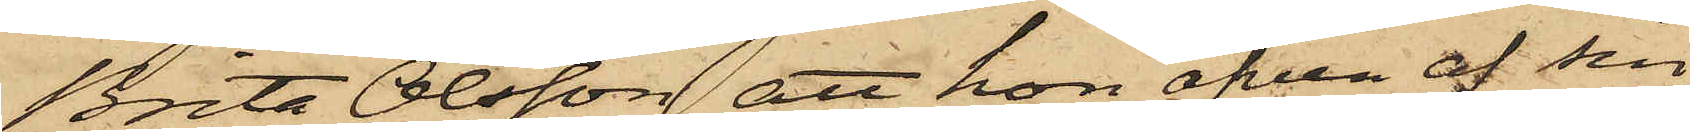Brita Olsson att hon äfven af sin
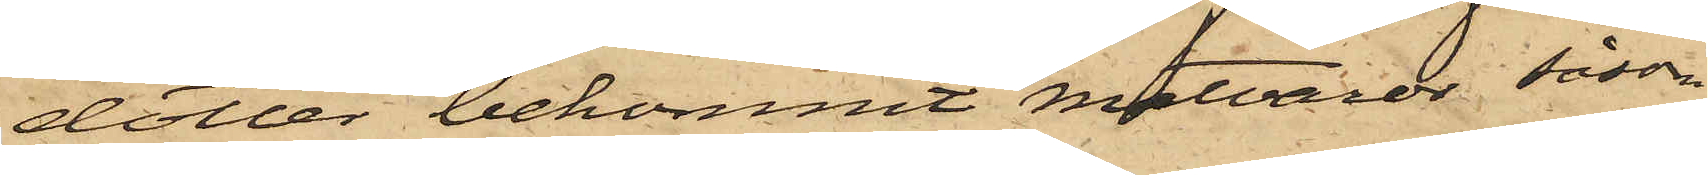dotter bekommit matvaror, såsom
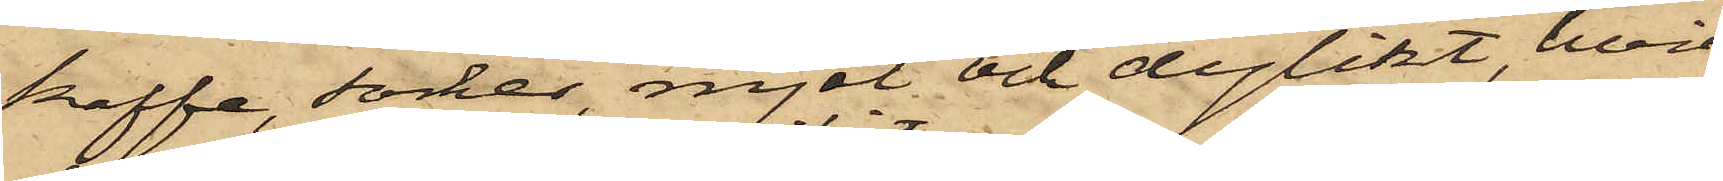kaffe, socker, mjöl och dylikt, hvil¬
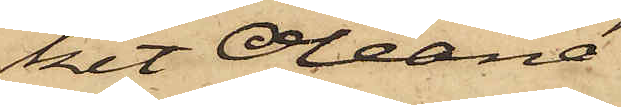ket Oleana
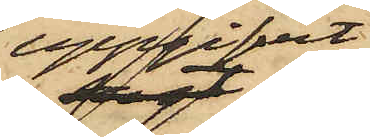uppgifvit
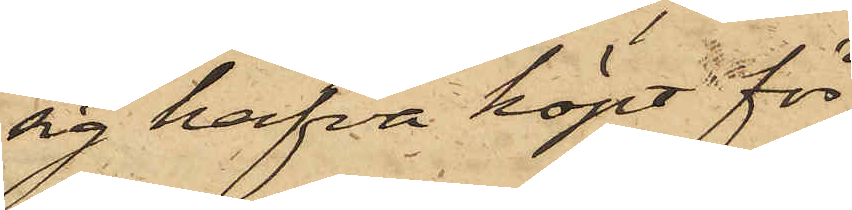sig hafva köpt för
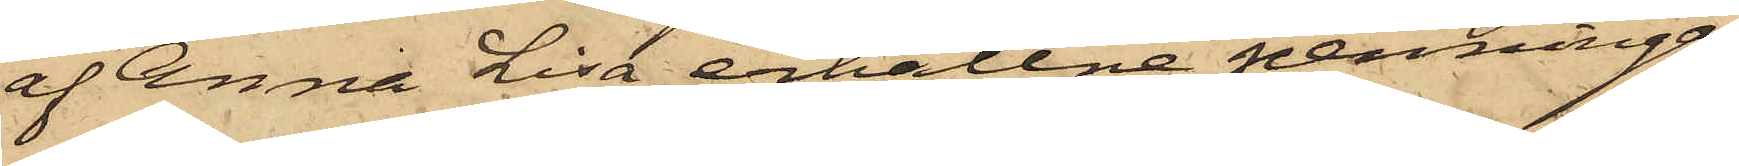af Anna Lisa erhållne penningar,
